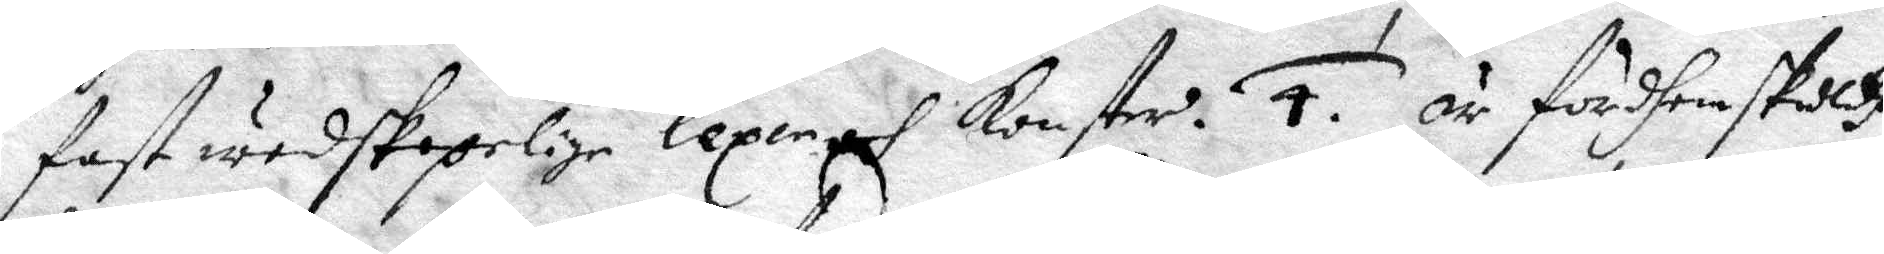fast wedskepelige lexer och konster. 4. är fördhen skulld
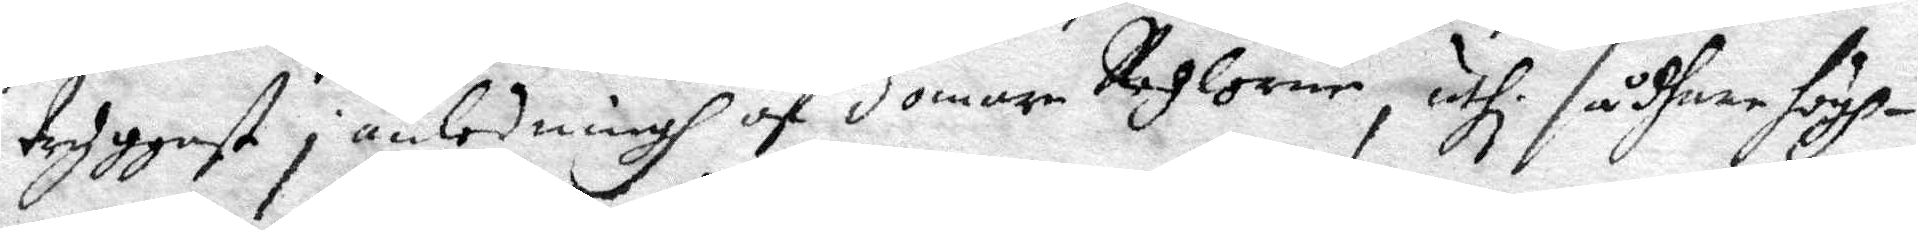tryggast i anledningh af domare Reglorne, uthi sådhane högh¬
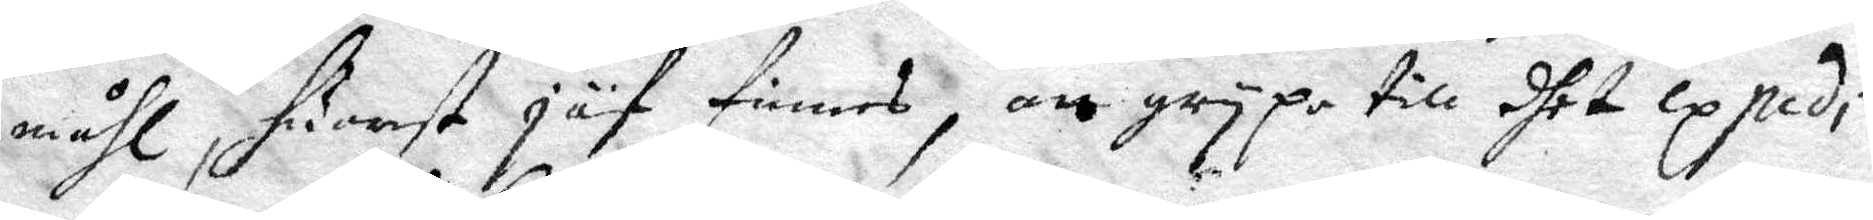måhl, huarest jäf finnes, an grypa till dhet expedi¬
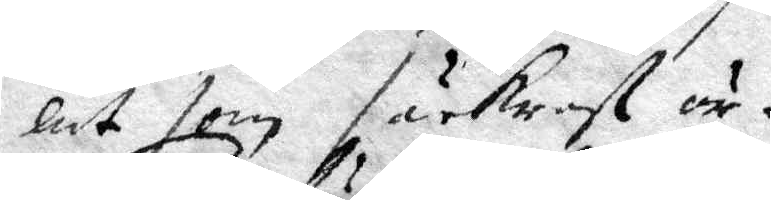lat som säkrast är.
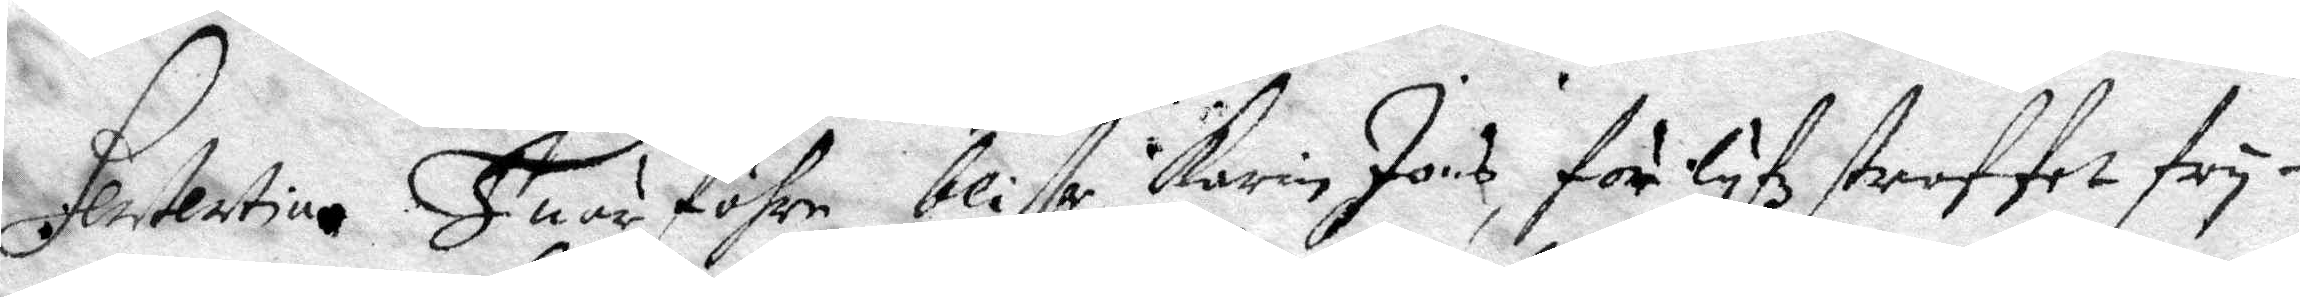Sententia. Huru föhre bliffr Karin Jons, för lyfz straffet fry¬
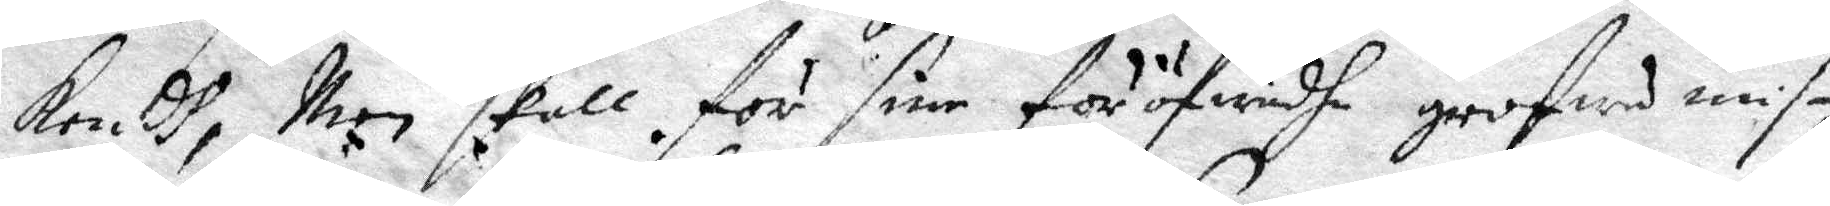kendh, Men skall för sine föröfwadhe grofwe mis¬
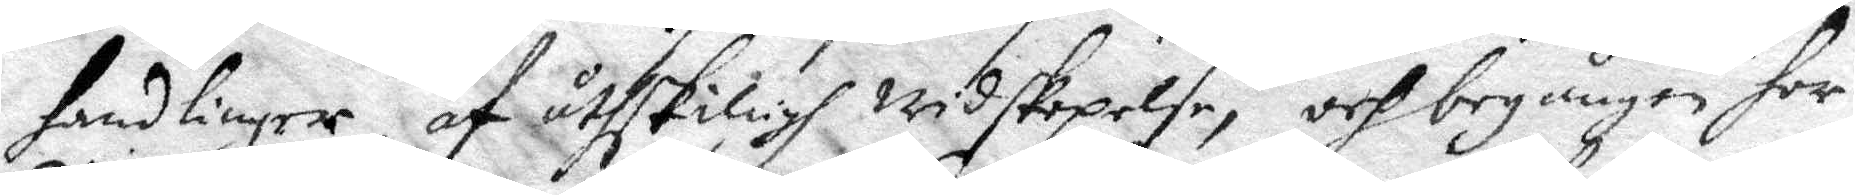handlinger, af åtskiligh widskepelse, och begånen hor¬
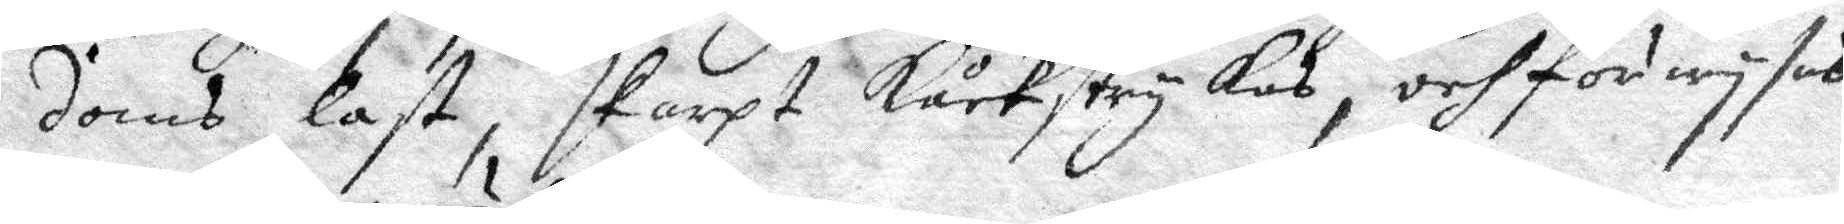domb last, skarpt kåckstrykas, och förwysas
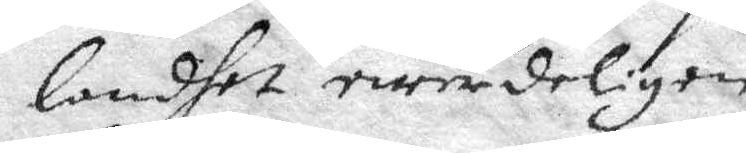landhet ewärdeligen.
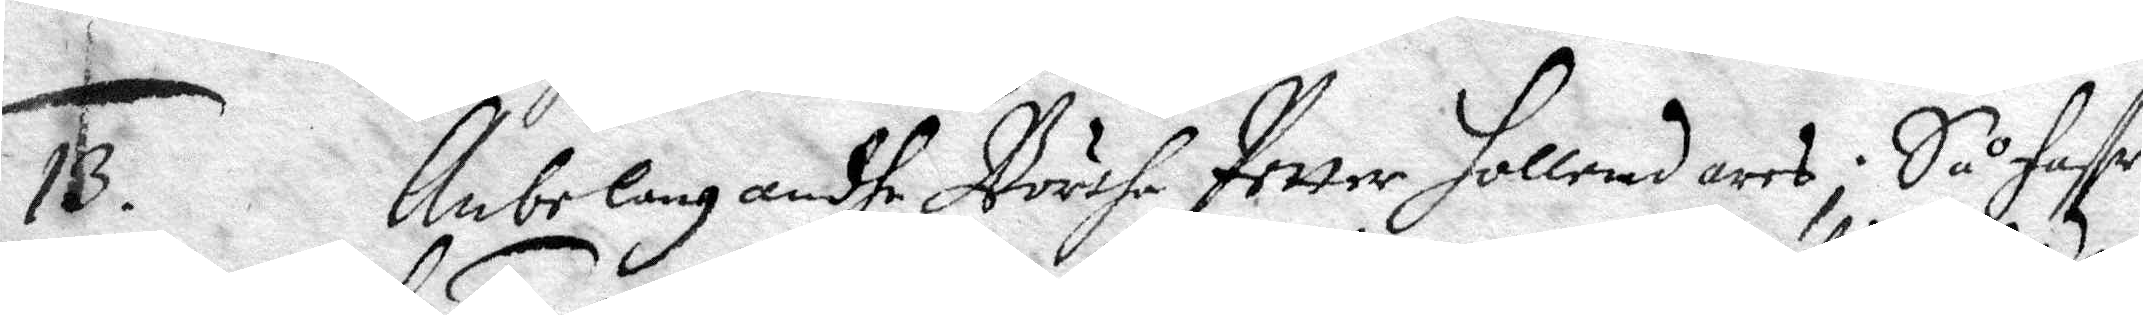13. Anbelangandhe Börtha Petter Hollendares; Så haffr
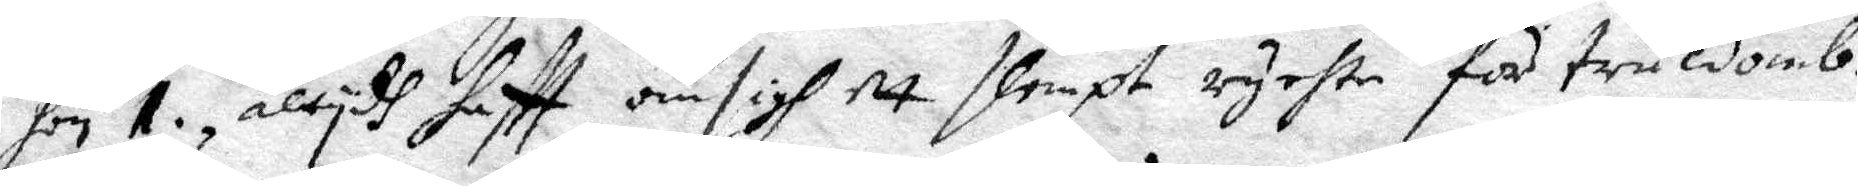hon 1. altydh haftt om sigh ett slempt ryckte för truldomb.
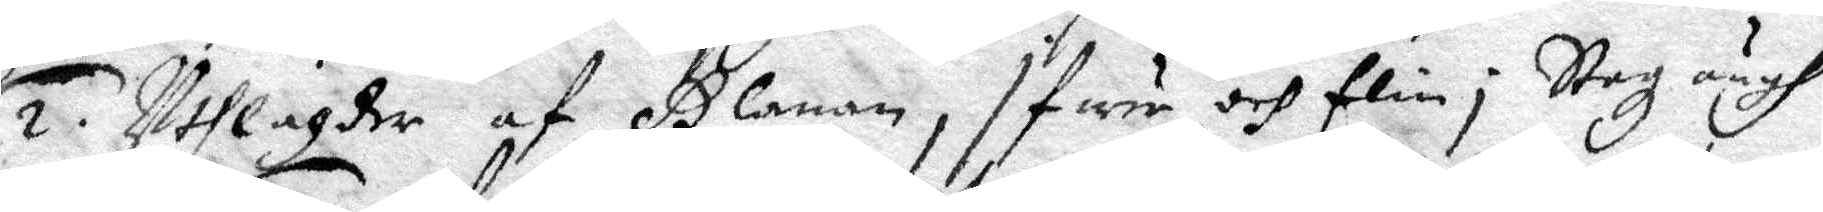2. Uthlagder af Glanan, i fure och Elin i Stazängh.
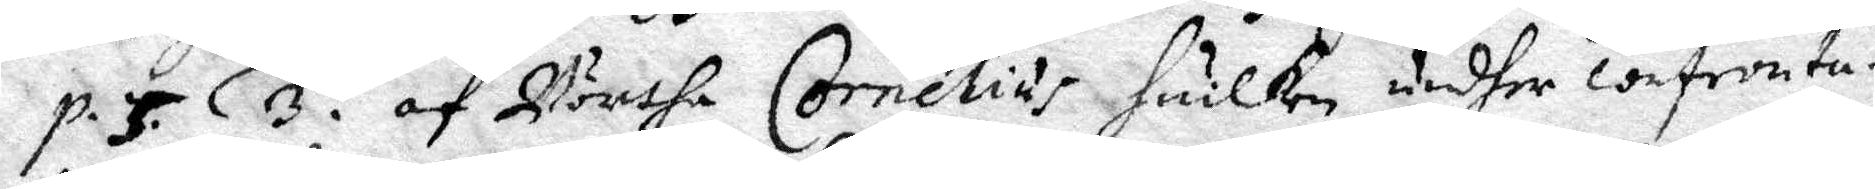p. 5. 3. af Börtha Cornelius huilken undher confronta¬
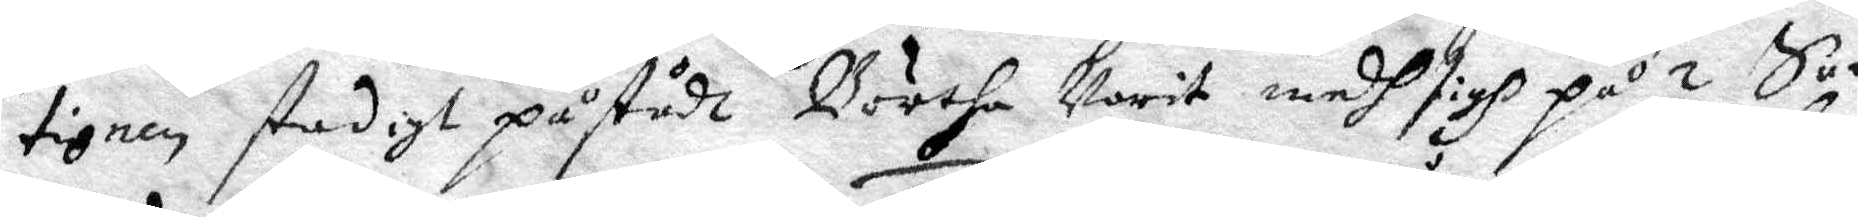tionen stadigt påstådh Börtha warit medh sigh på 2 Sa¬
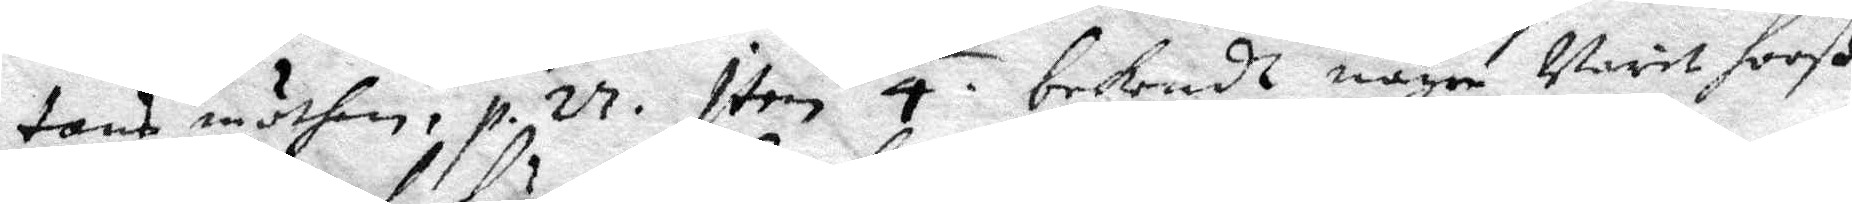tans möthen, p. 27. Item 4. bekendt någre warit hooß
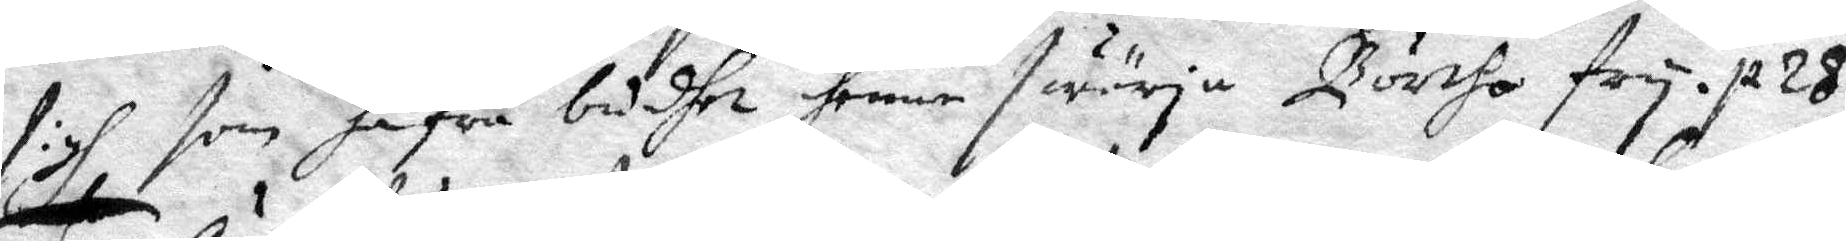sigh som hafua budhet henne swärja Börtha fry. p. 28.
